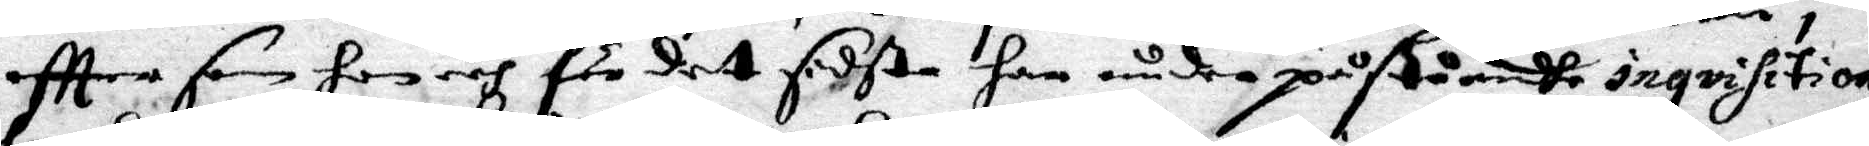eftter som hon och för det sidsta hon under påstående inqvisition
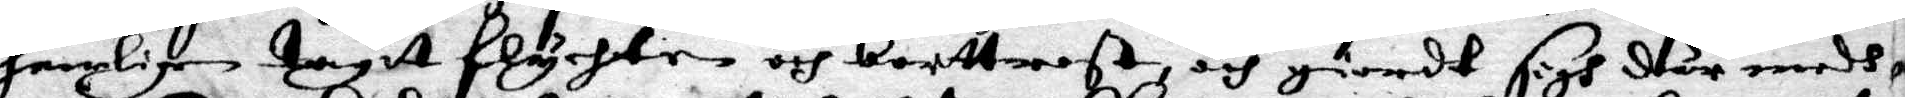hemligen tagit flychten och borttrest, och giordt sigh där medh
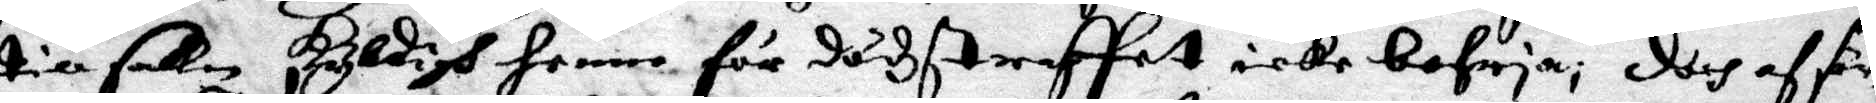till saken skyldigh henne för dödzstraffet icke befria; doch af sär¬
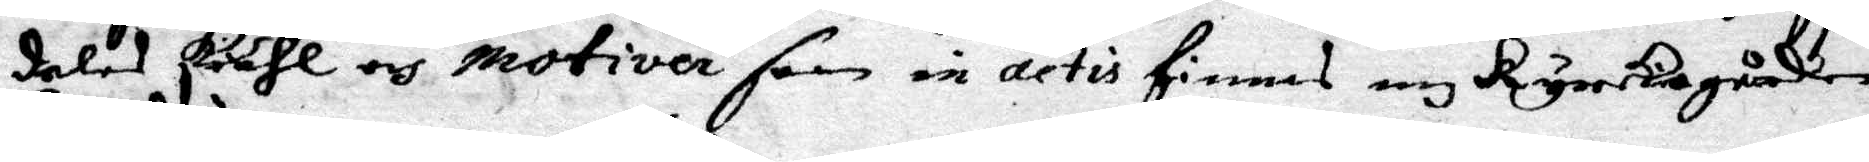deles skiähl och motiver som in actis finnes och kyrkiogården
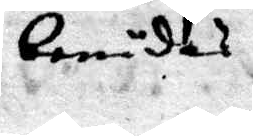benådas
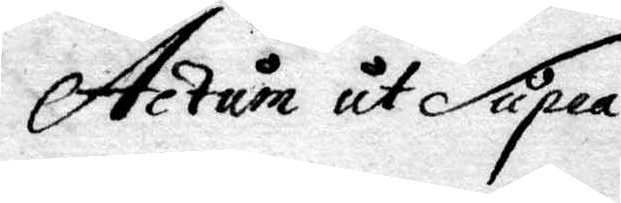Actum ut Supra.
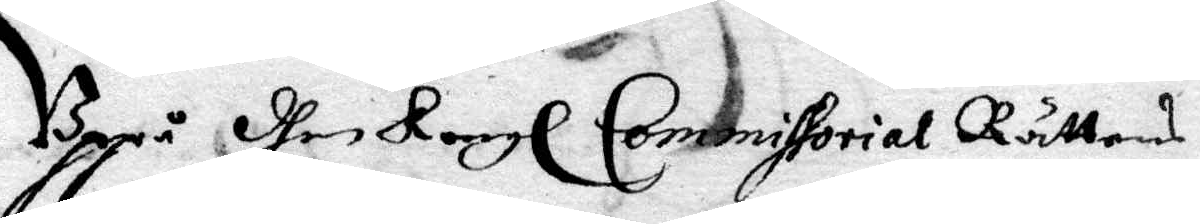Uppå dhen Kongl Commissorial Rättens
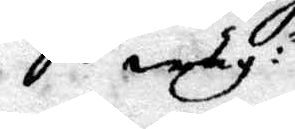wäg:r
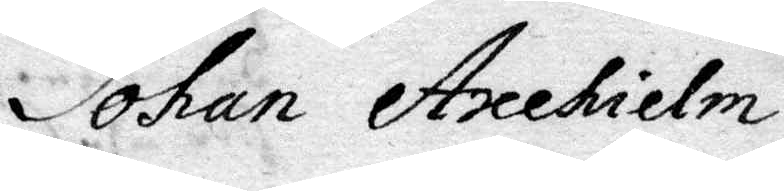Johan Axehielm
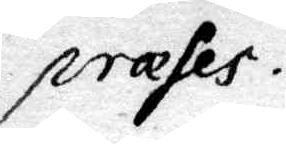præses
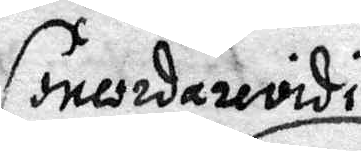Conciedarevidi
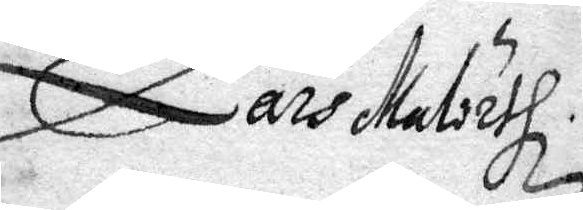Lars Maleith
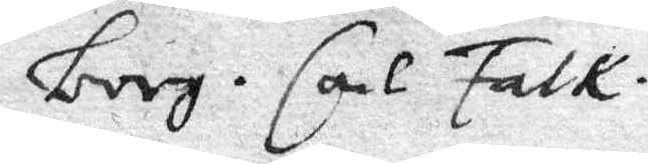Borg. Carl Falk.
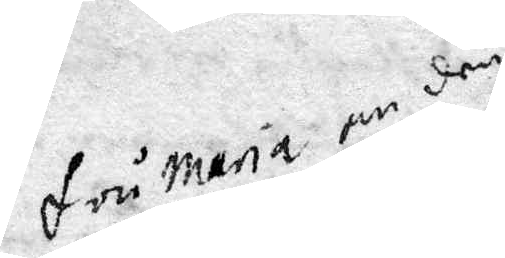fru Maria om den
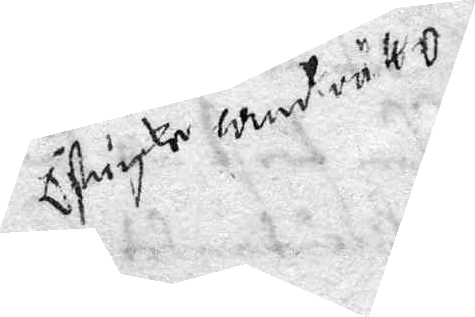Ostugke wend rätt o
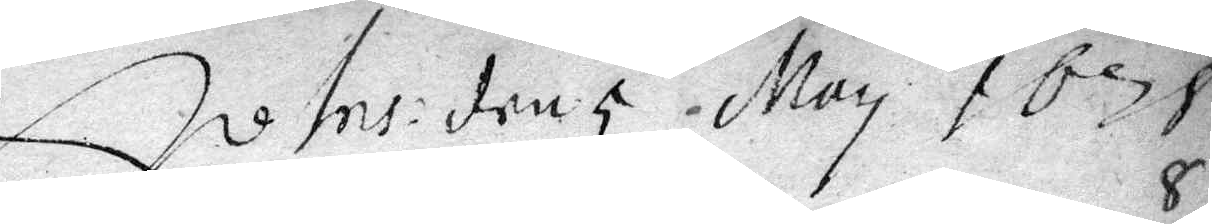Ivtns: den 5 may 1678
